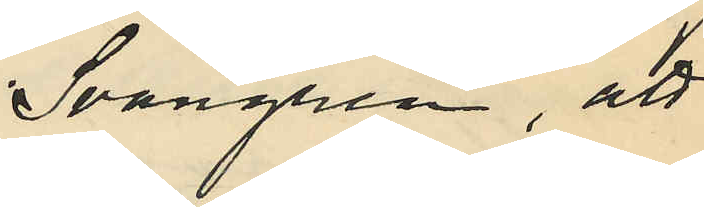Svangren, att
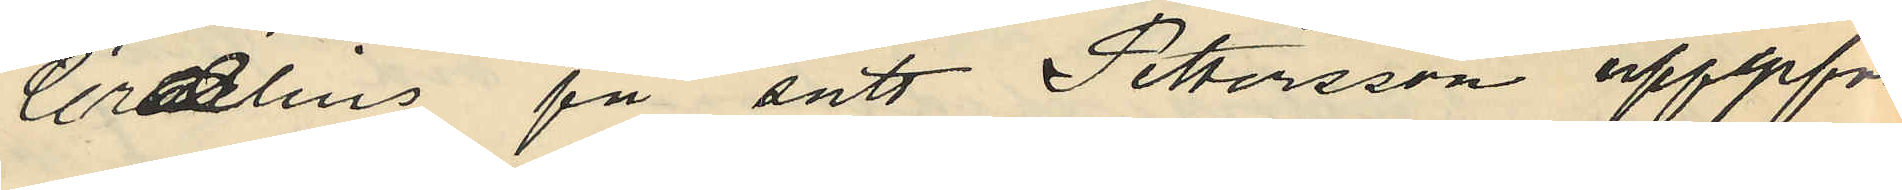Crælius på sätt Pettersson uppgifvit
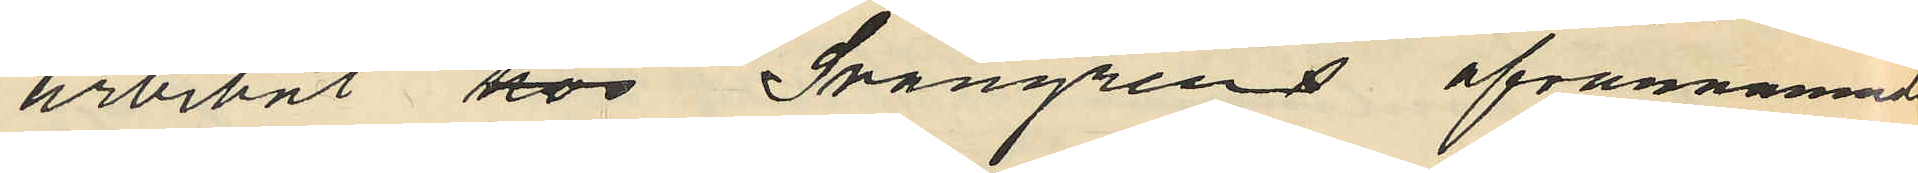arbetat hos å Svangrens ofvannämnde
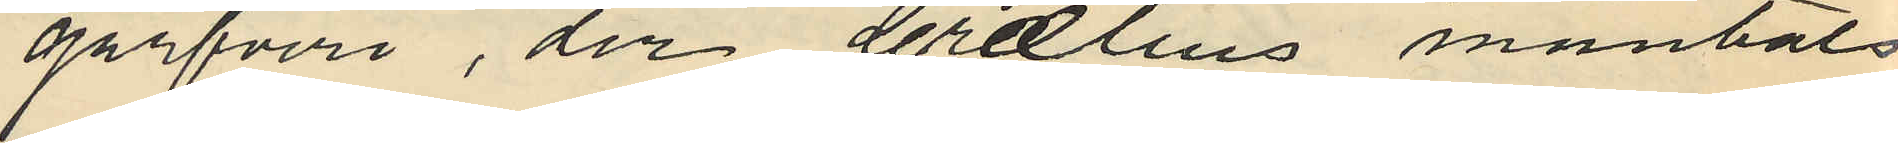garfveri, der Crælius mantals
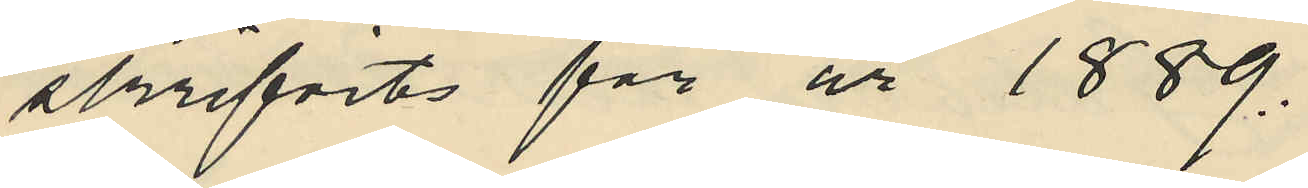skrifvits för år 1889.
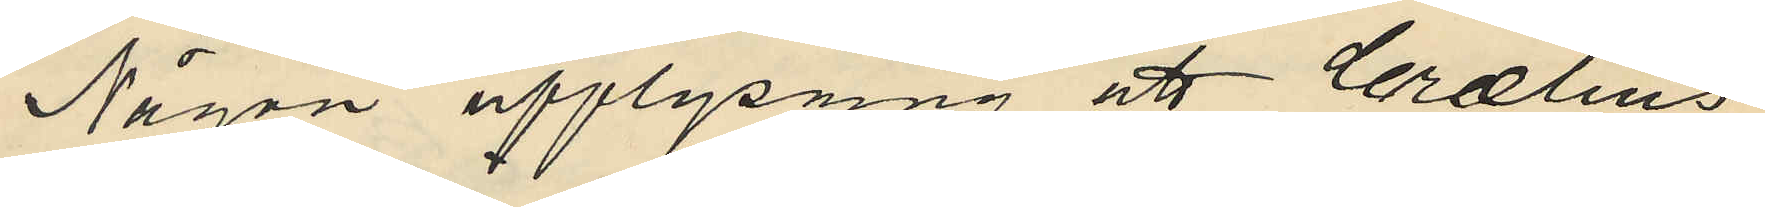Någon upplysning att Crælius
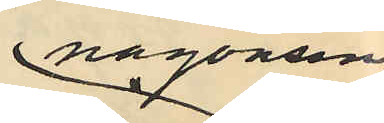någonsin
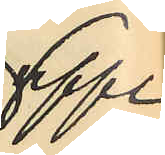uppe
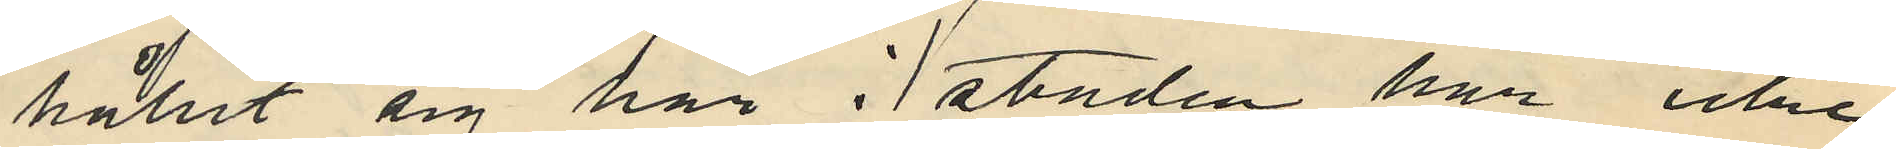hållit sig här i staden har icke
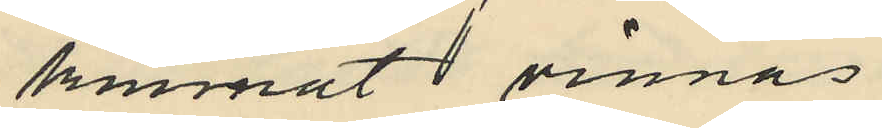kunnat vinnas
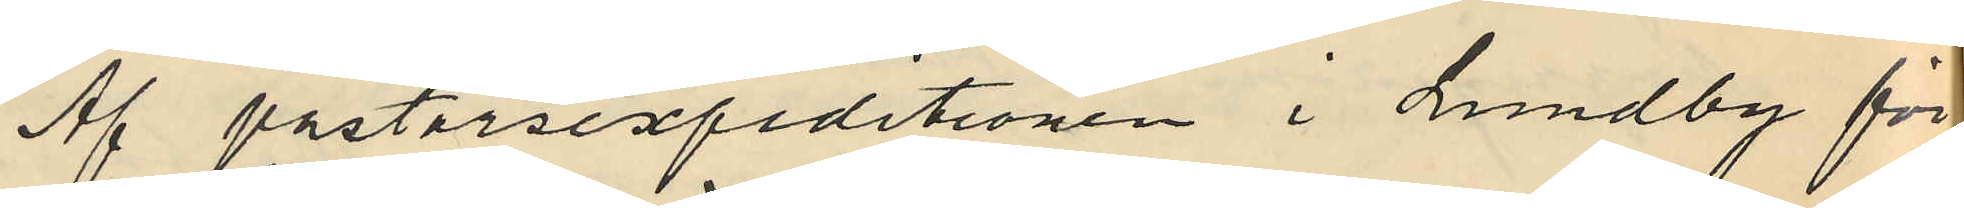Af pastorsexpeditionen i Lundby för
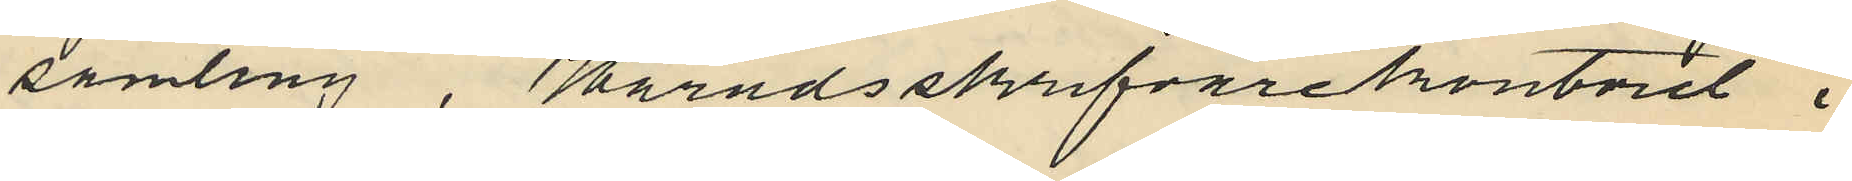samling, Häradsskrifvarekontoret i
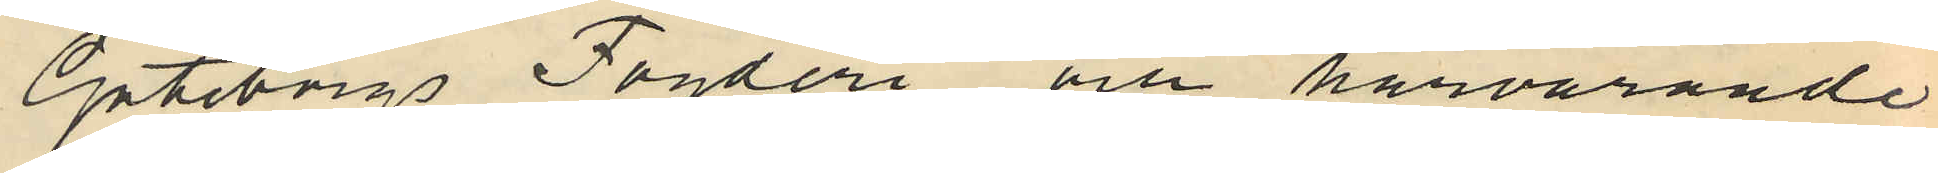Göteborgs Fögderi och härvarande
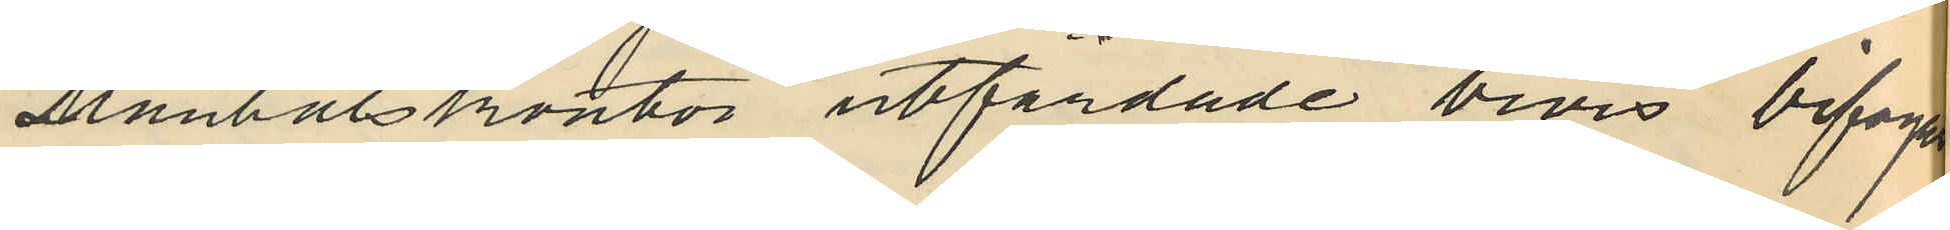Mantalskontor utfärdade bevis bifogas
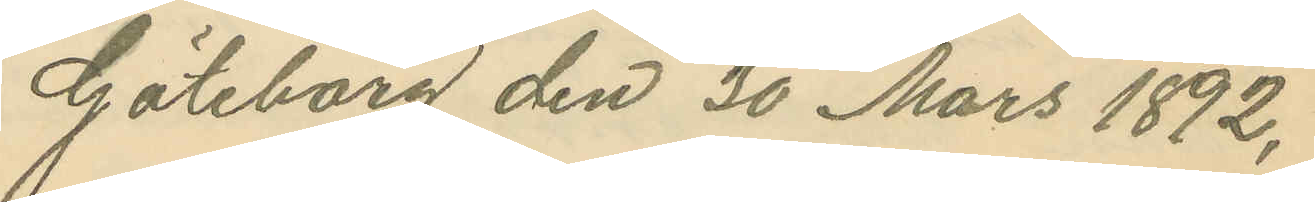Göteborg den 30 Mars 1892.
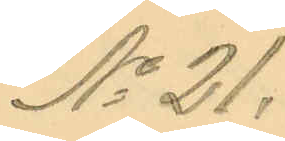No 21.
